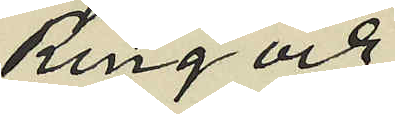Ring och
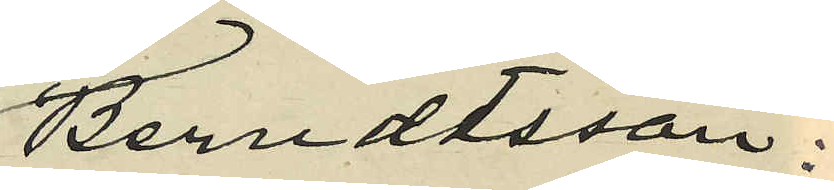Berndtsson:
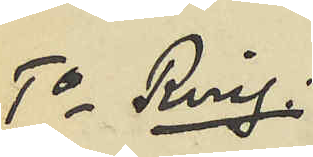1o Ring:
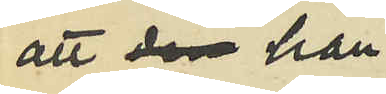att den han
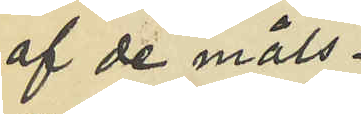af de måls¬
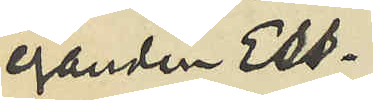eganden Ess¬
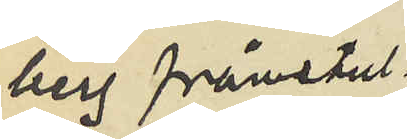berg frånstul¬
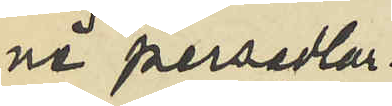ne persedlar¬
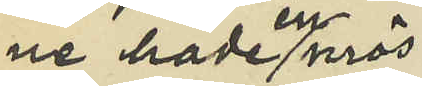ne hade en mös¬
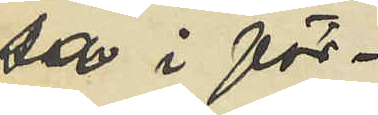sa i för¬
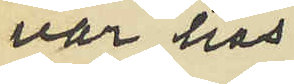var hos
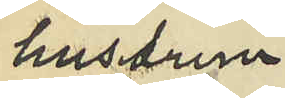hustrun
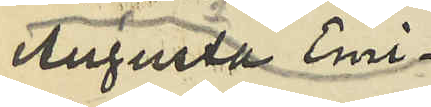 Emilia
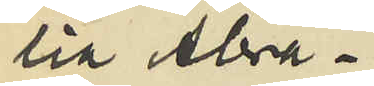Augusta Abra¬
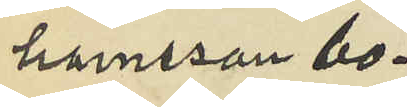hamsson bo¬
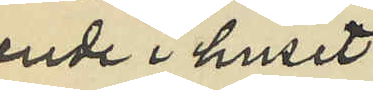ende i huset
